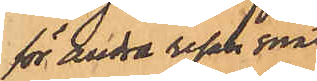för andra resan snat¬
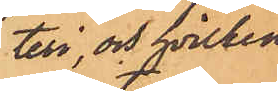teri, och hvilken
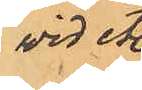vid etc
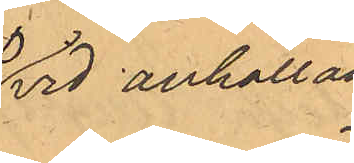vid anhållan¬
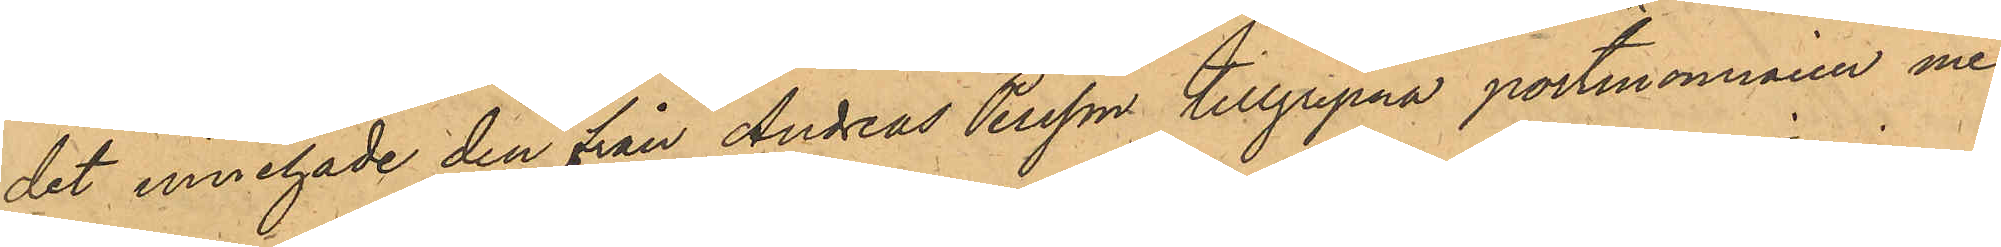det innehade den från Andreas Persson tillgripna portmonnaien med
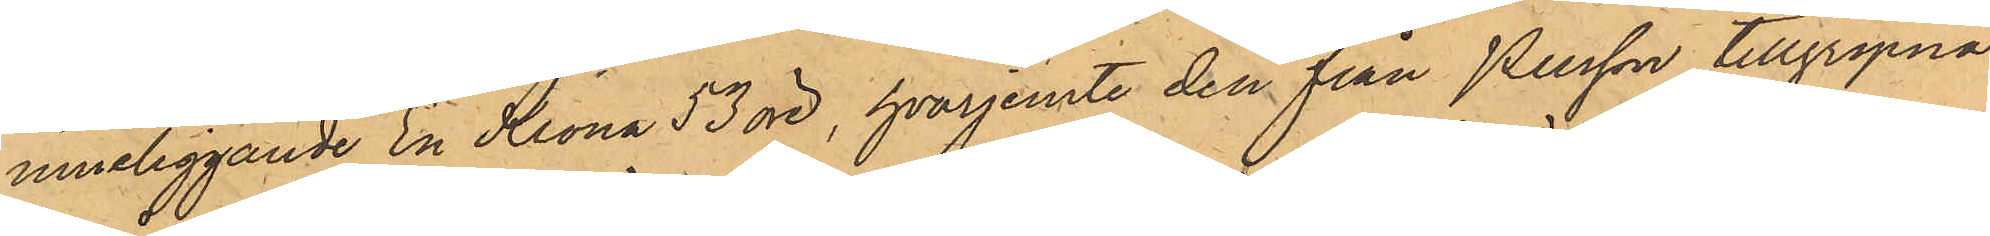inneliggande En Krona 53 öre, hvarjemte den från Persson tillgripna
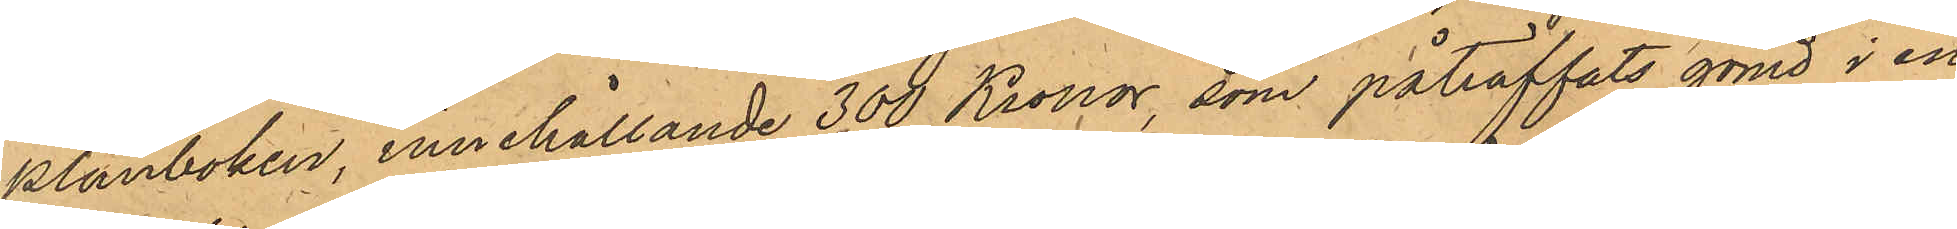Plånboken innehållande 300 Kronor, som påträffats gömd i en
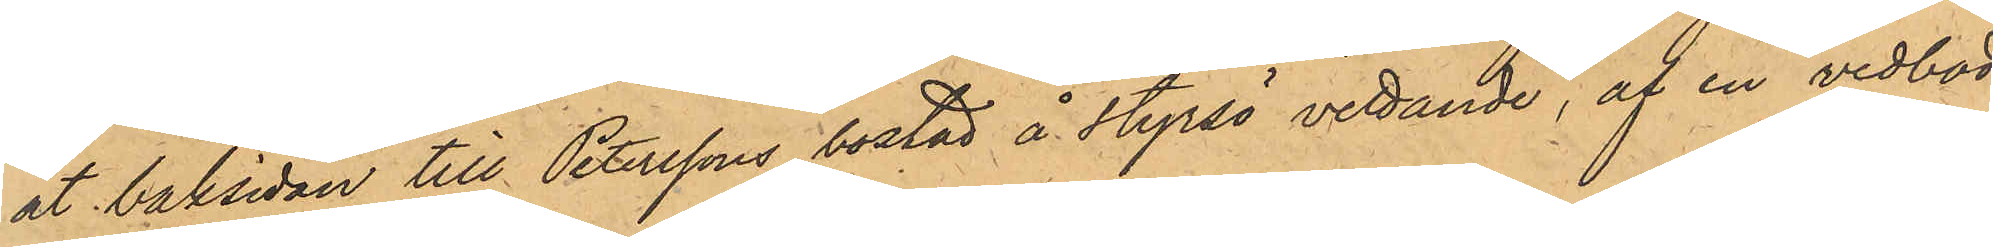åt baksidan till Peterssons bostad å Styrsö vettande, af en vedbod
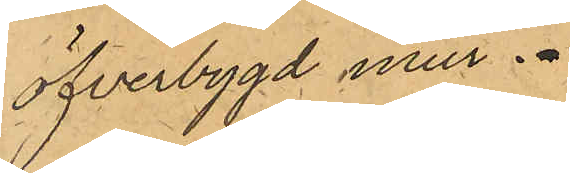öfverbygd mur.
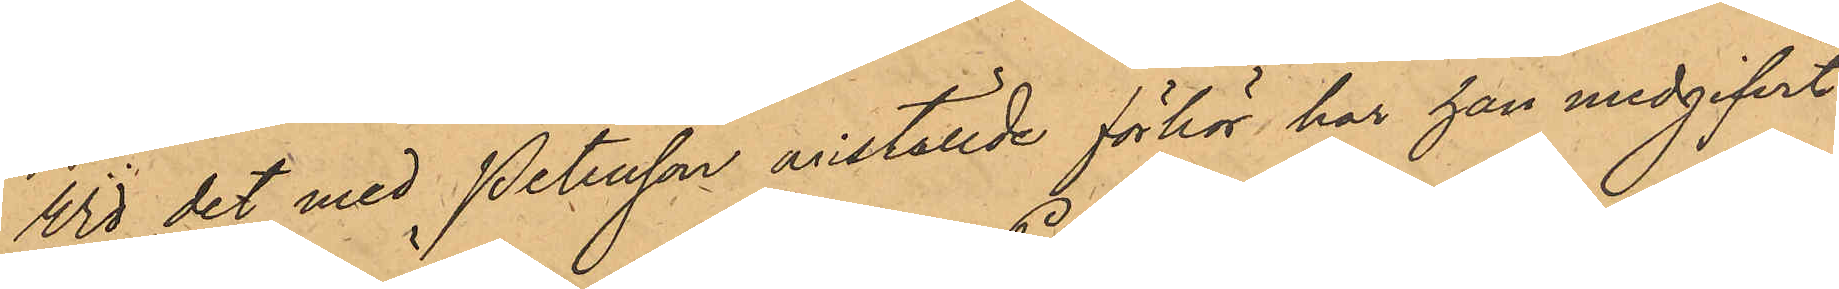Vid det med Petersson anställde förhör har han medgifvit,
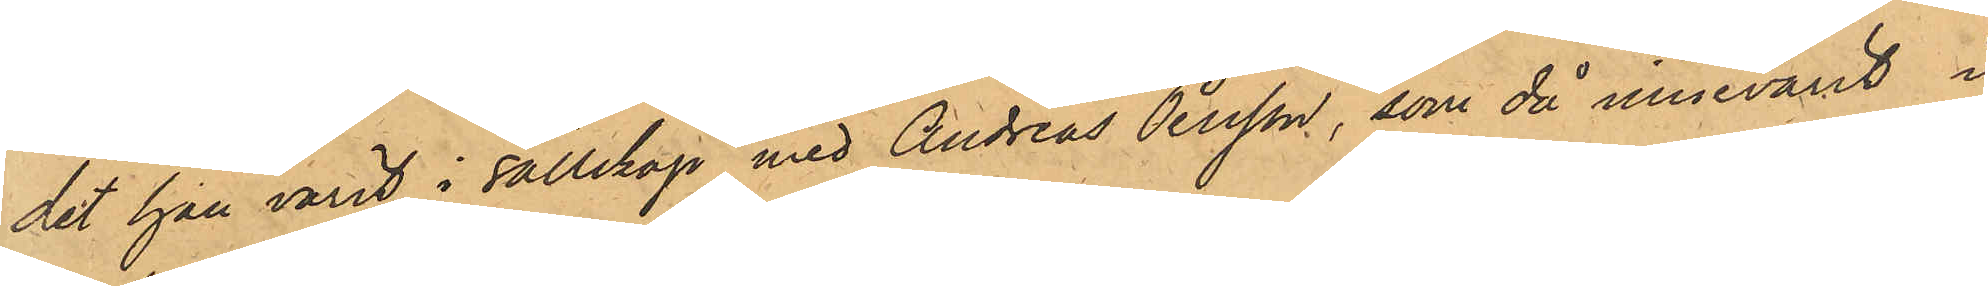det han varit i sällskap med Andreas Persson, som då innevarit i
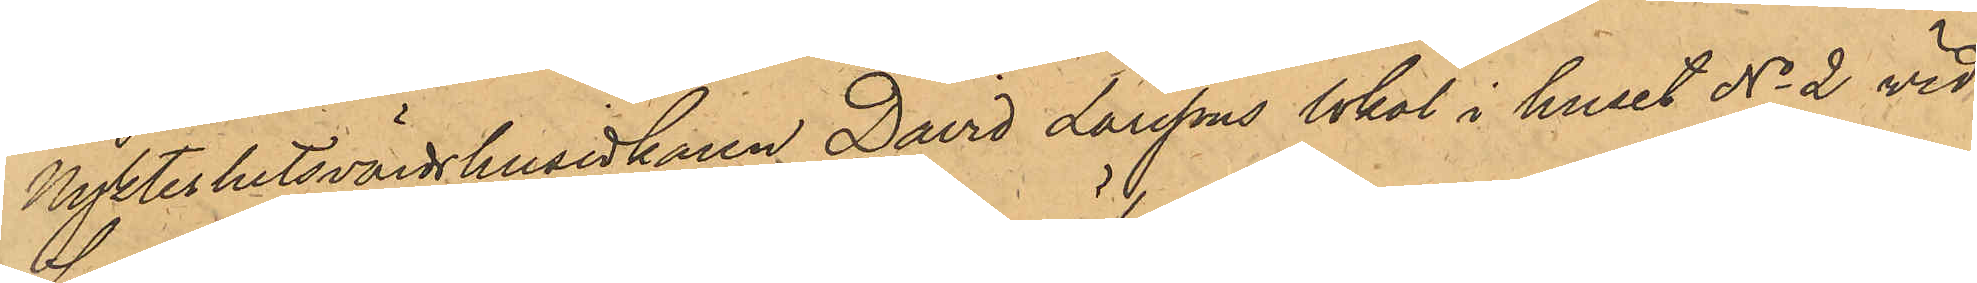Nykterhetsvärdshusidkaren David Larssons lokal i huset No 2 vid
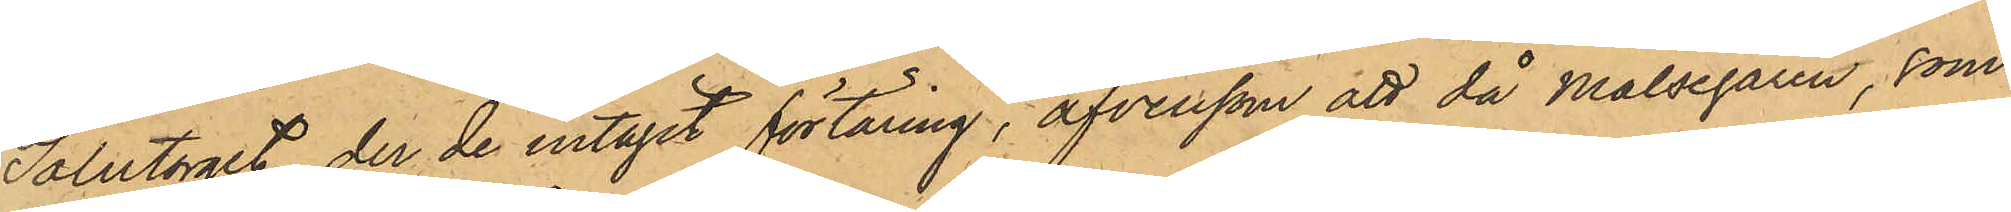Salutorget, der de intagit förtäring, äfvensom att då Målsegaren, som
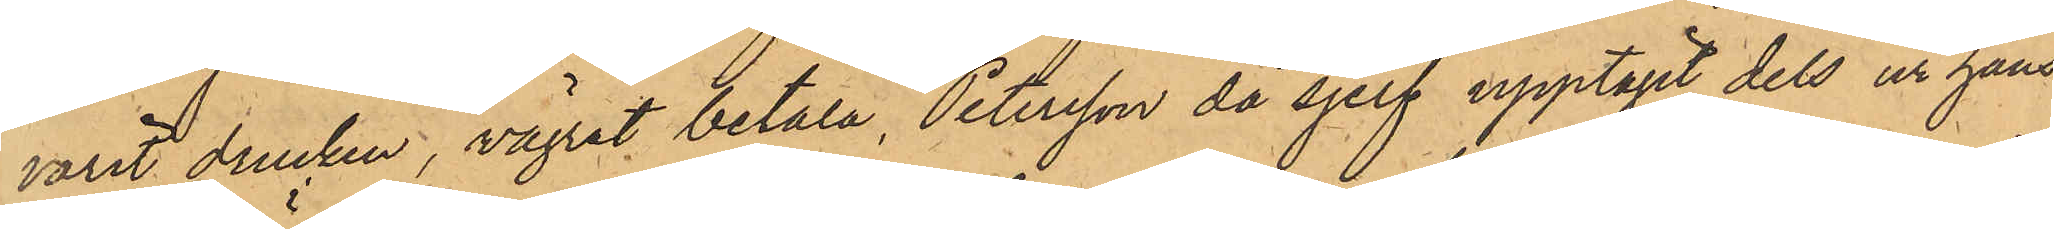varit drucken, vägrat betala, Petersson då sjelf upptagit dels ur hans
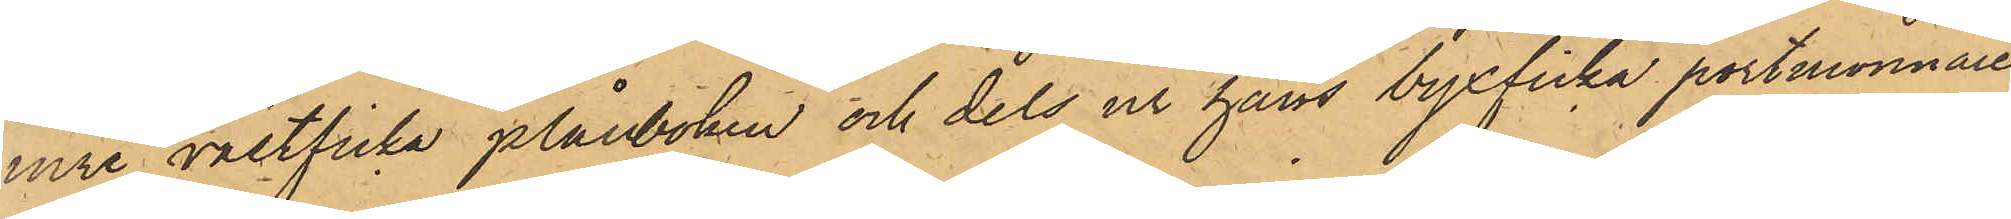inre västficka plånboken och dels ur hans byxficka portmonnaien
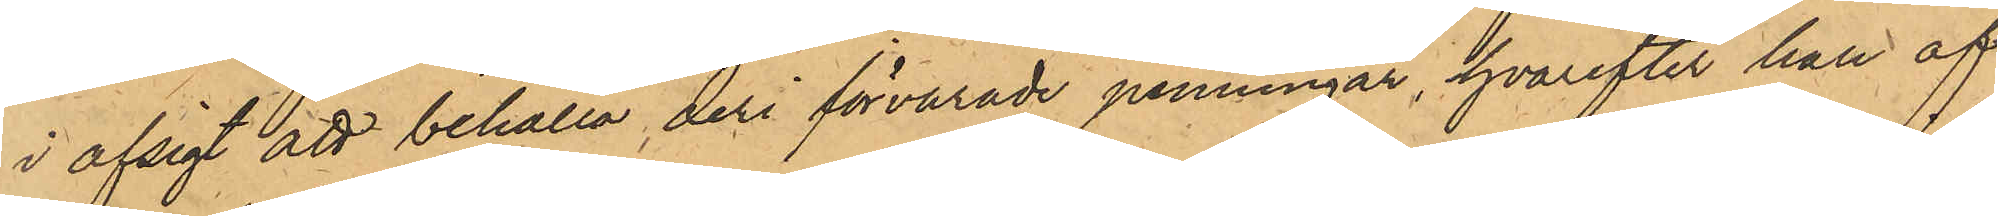i afsigt att behålla deri förvarade penningar, hvarefter han af
